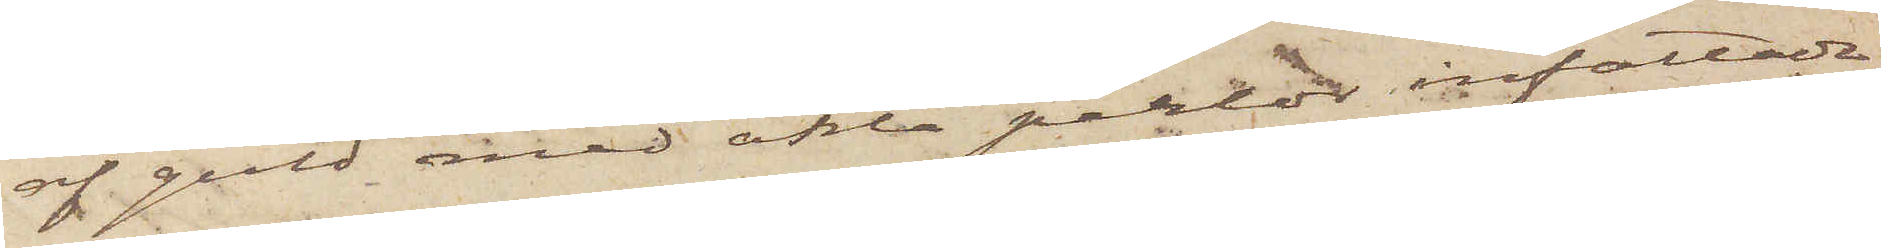af guld med äkta perlor infattade,
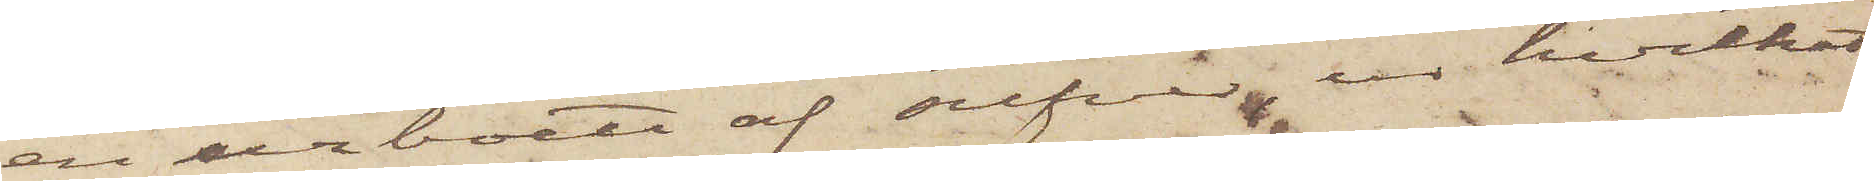en urboett af silfver, ur hvilket
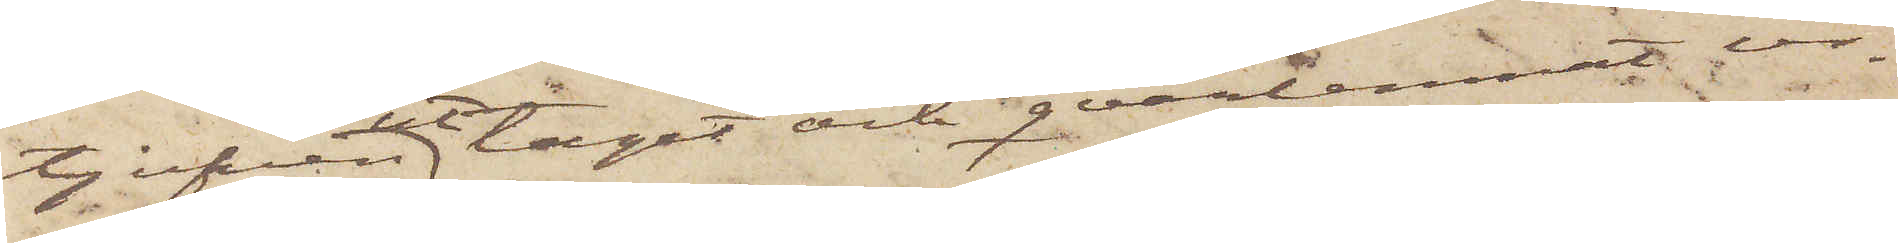tjufven uttagit och qvarlemnat ur¬
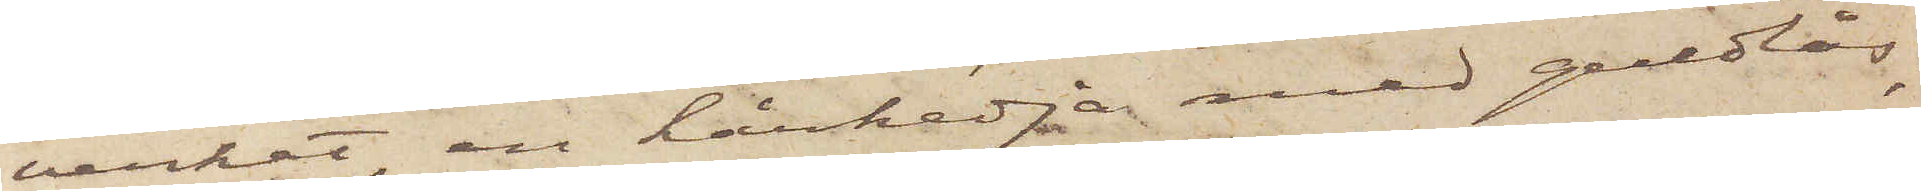verket, en hårkedja med guldlås,
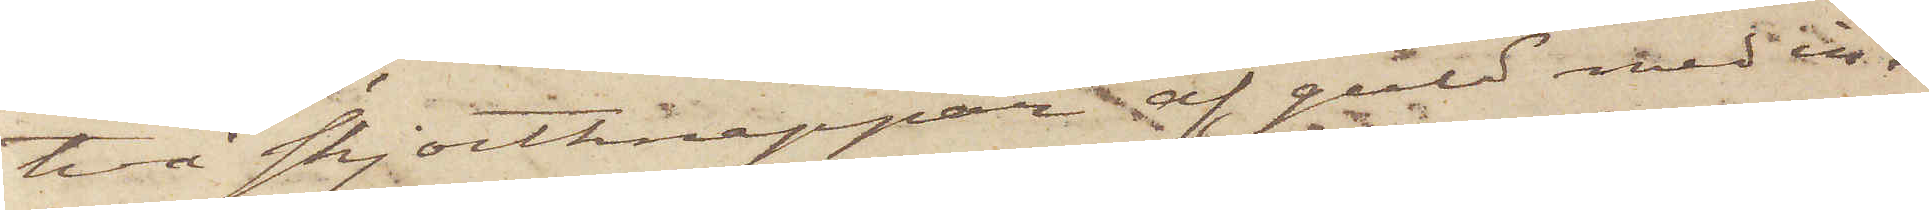två skjortknappar af guld med in¬
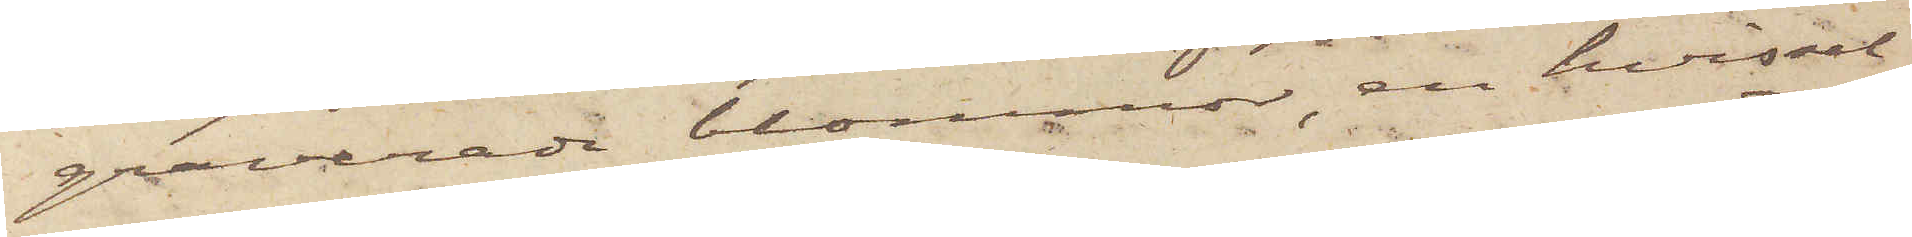graverade blommor, en hvissel¬
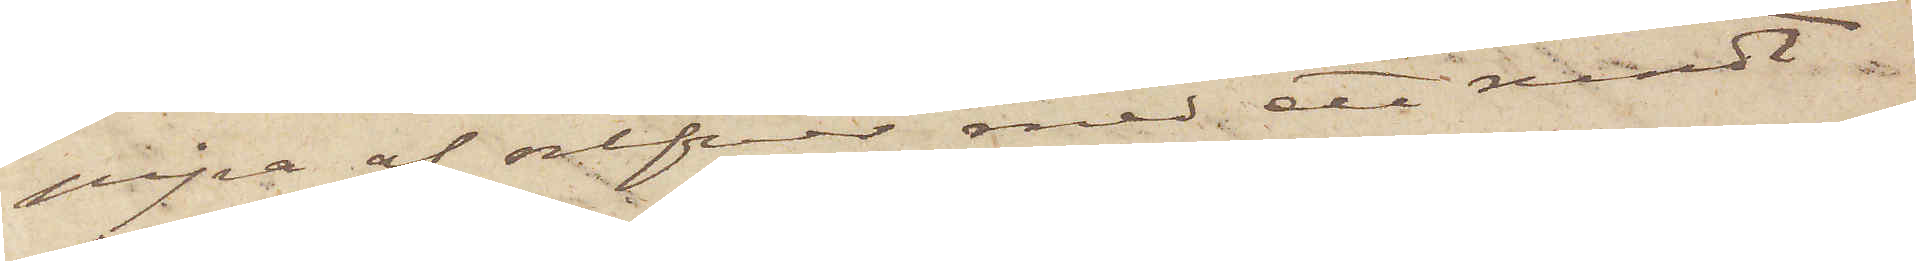pipa af silfver med ett rundt
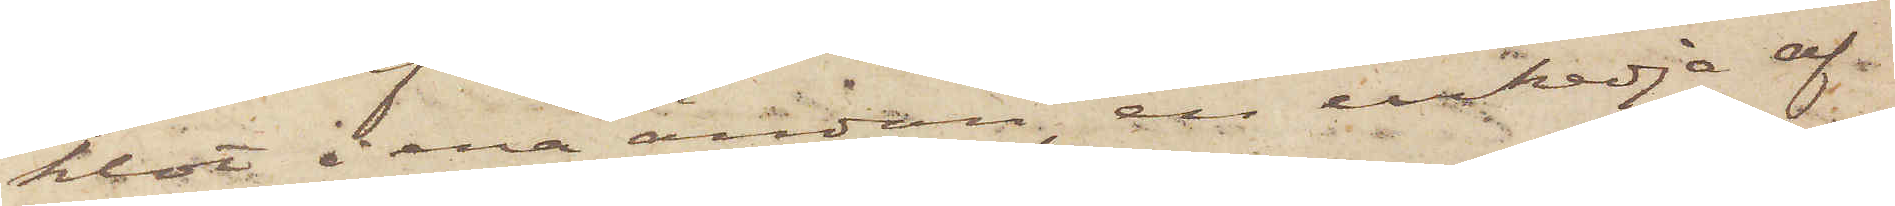klot i ena ändan, en urkedja af
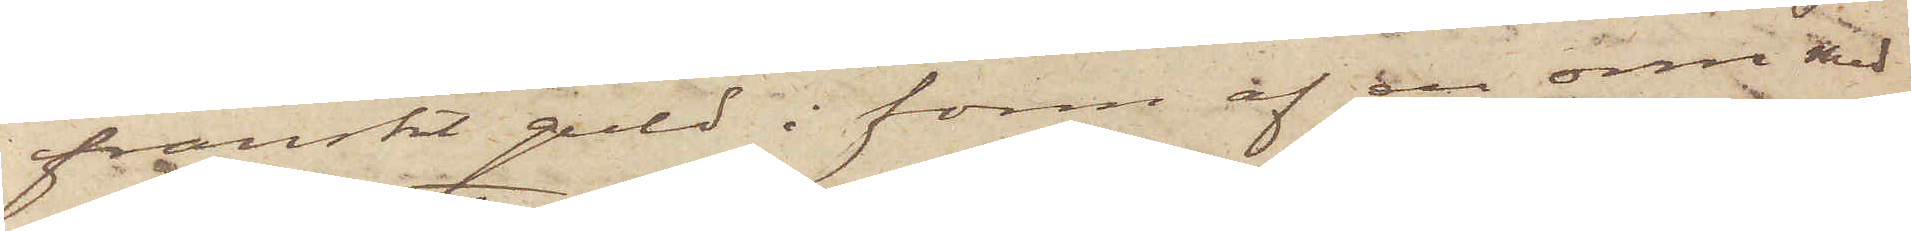franskt guld i form af en orm med
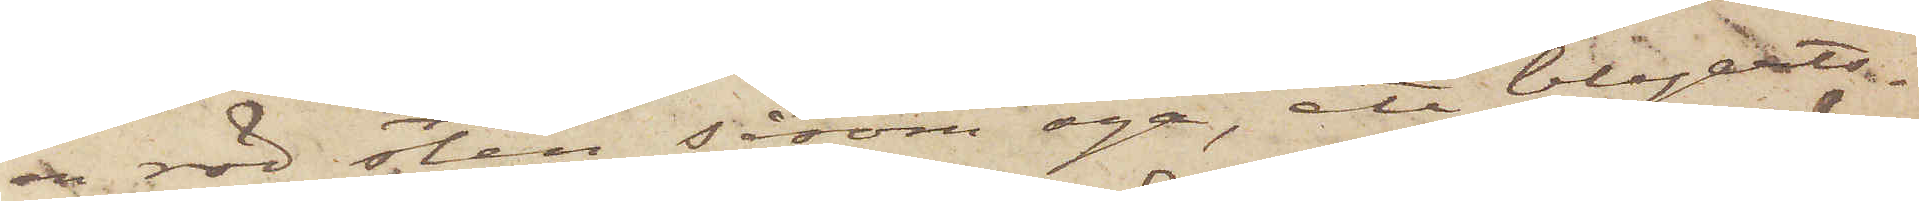en röd sten såsom öga, ett blyerts¬
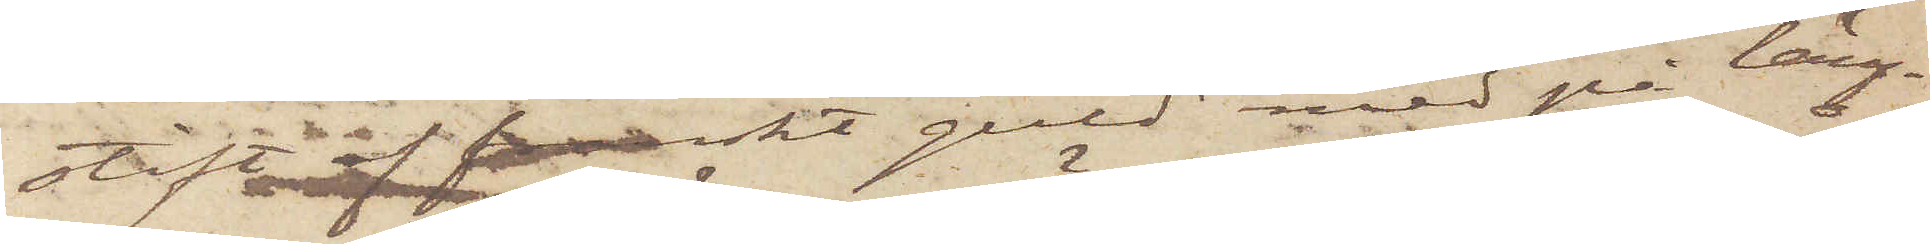stift af franskt guld med på läng¬
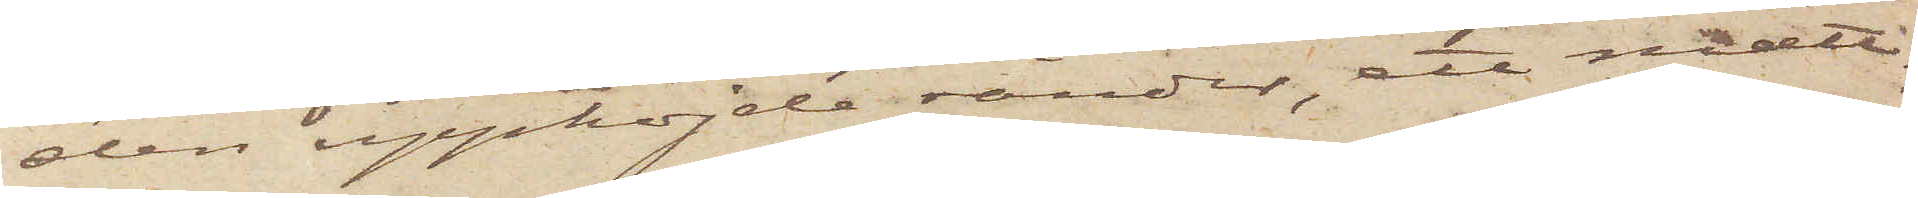den upphöjde ränder, ett mått¬
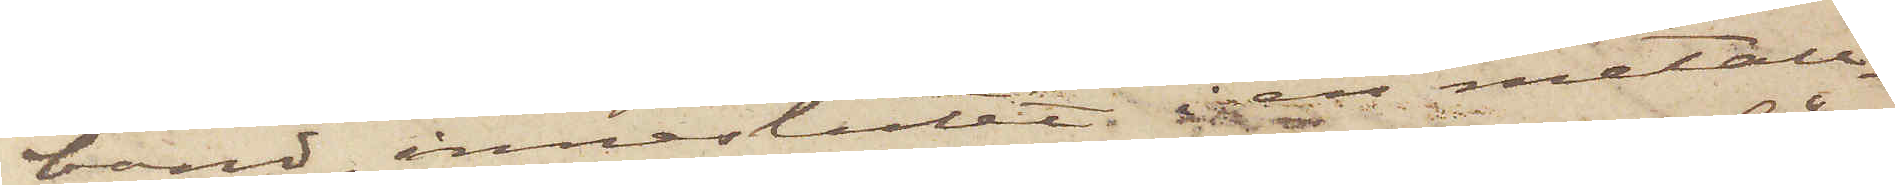band, inneslutet i metall¬
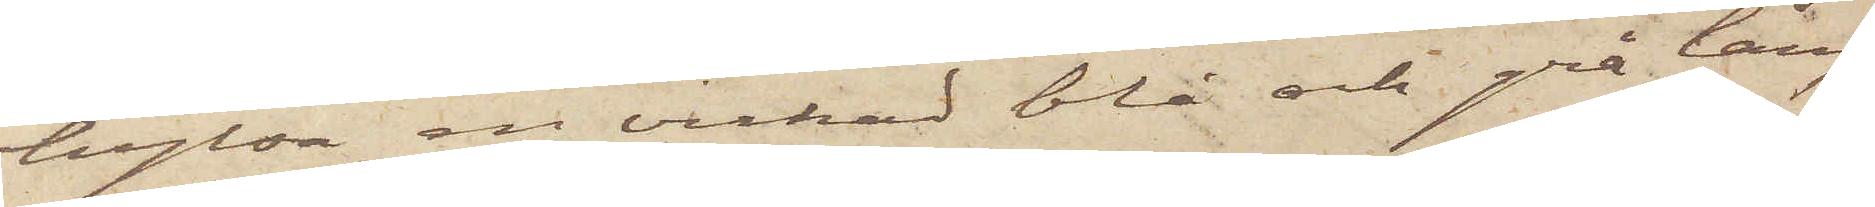hylsa, en virkad blå och grå lång
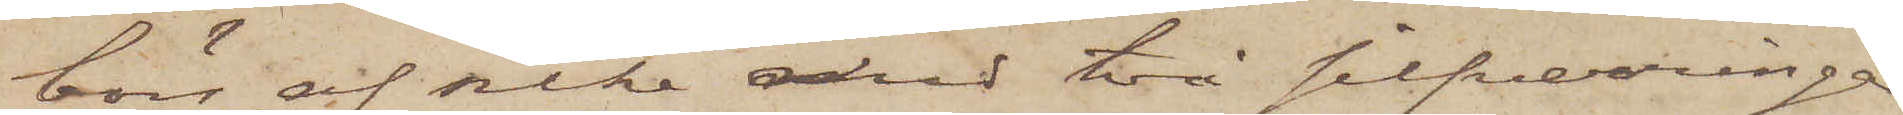börs af silke med två silfverringar,
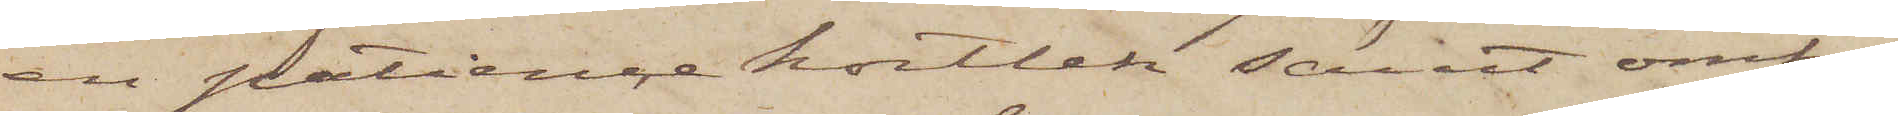en patiencekortlek samt omkring
